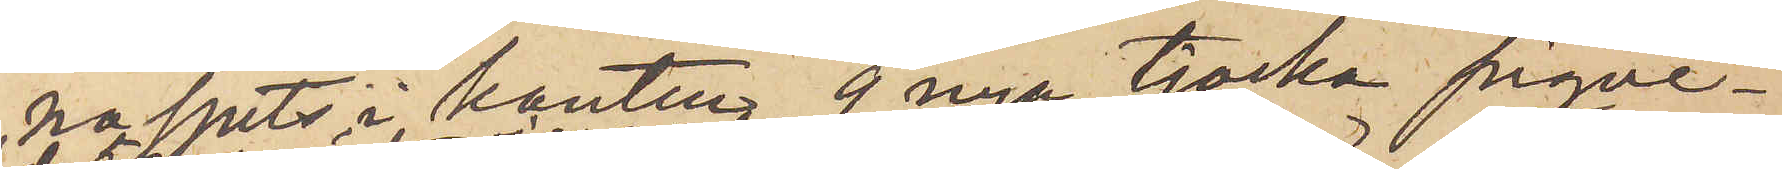naspets i kanten, 9 nya tjocka piqvé¬
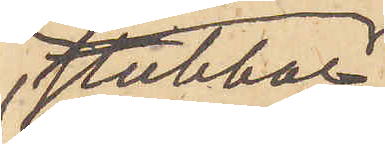stubbar
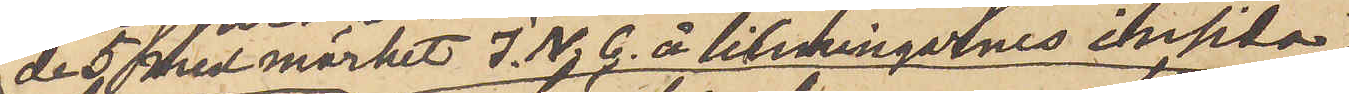de 5 med märket I. N. G. å linningarnes insida
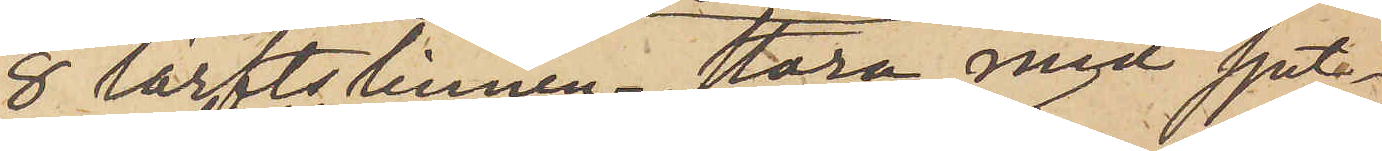8 lärftslinnen stora med spet¬
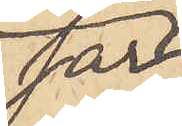sar
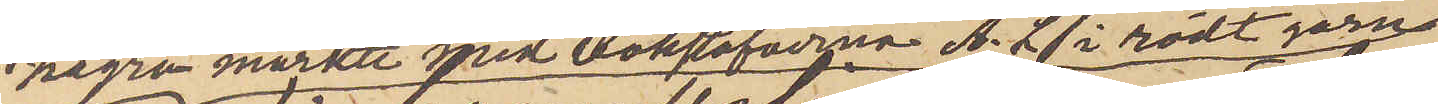några märkte med bokstäfverna A. L. i rödt garn
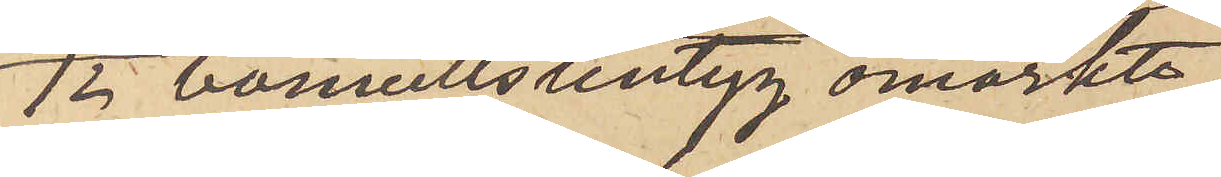12 bomullslintyg omärkte,
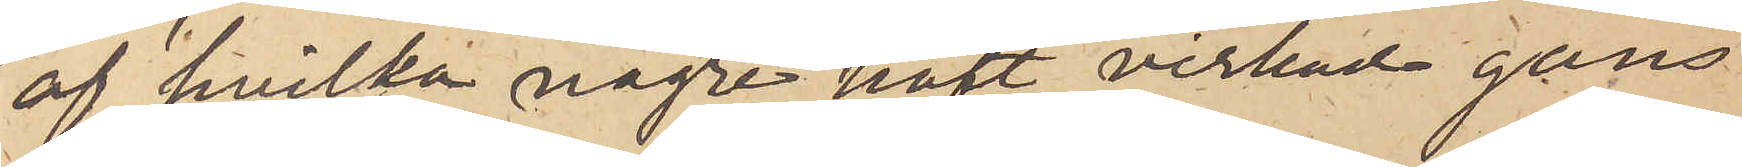af hvilka några haft virkad gans
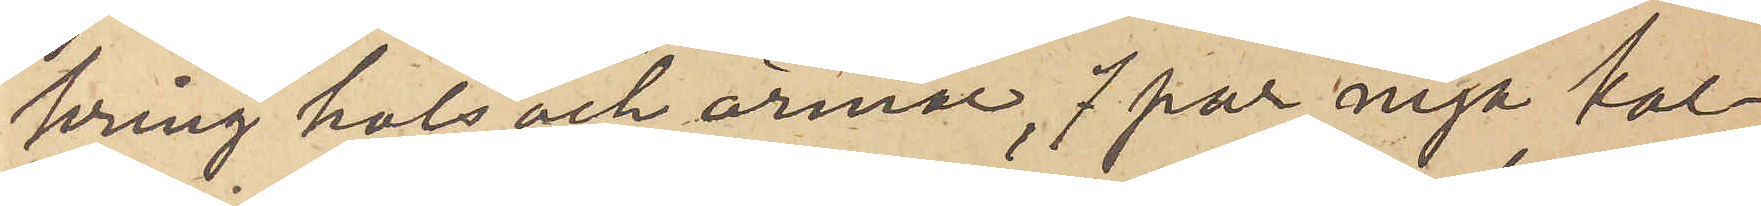kring hals och armar, 7 par nya kal¬
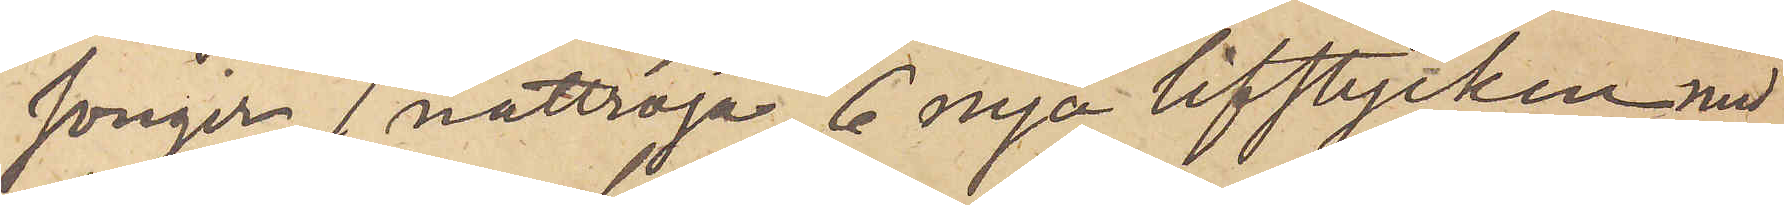songer, 1 nattröja, 6 nya lifstycken med
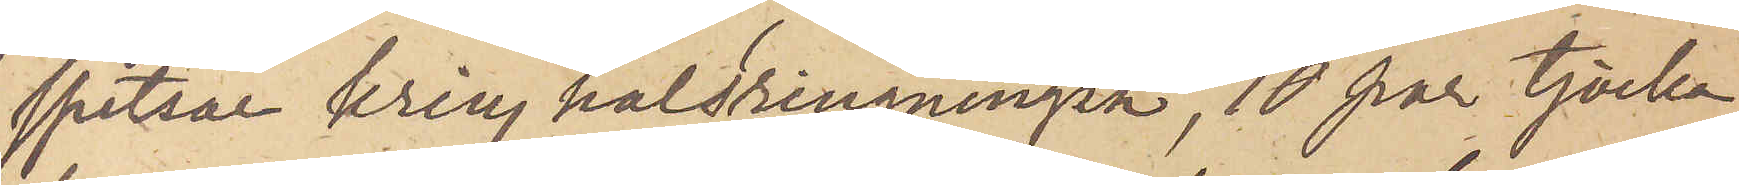spetsar kring halsringningen, 10 par tjocka
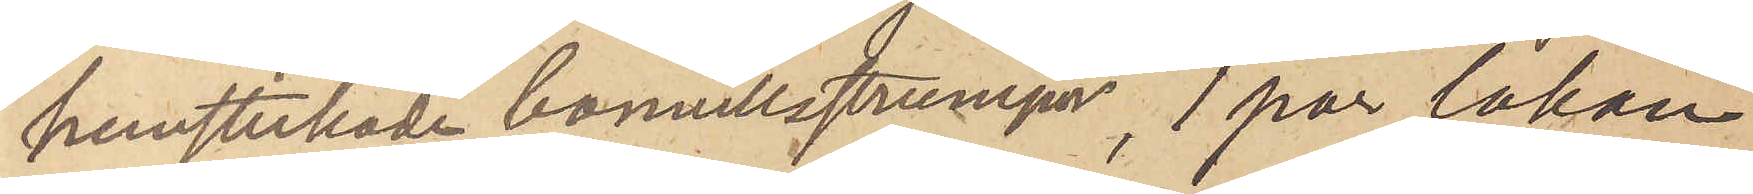hemstickade bomullsstrumpor, 1 par lakan
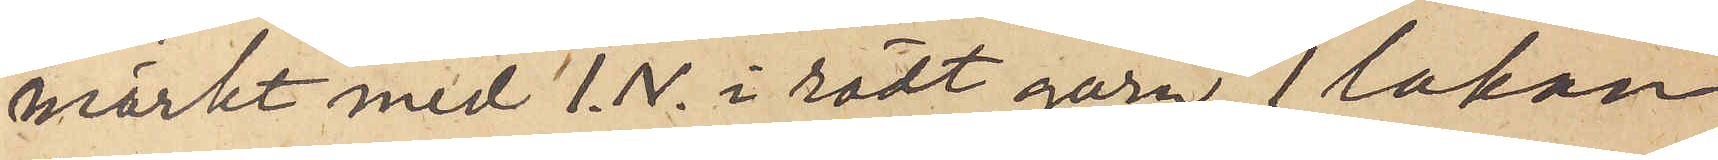märkt med I.N. i rödt garn, 1 lakan
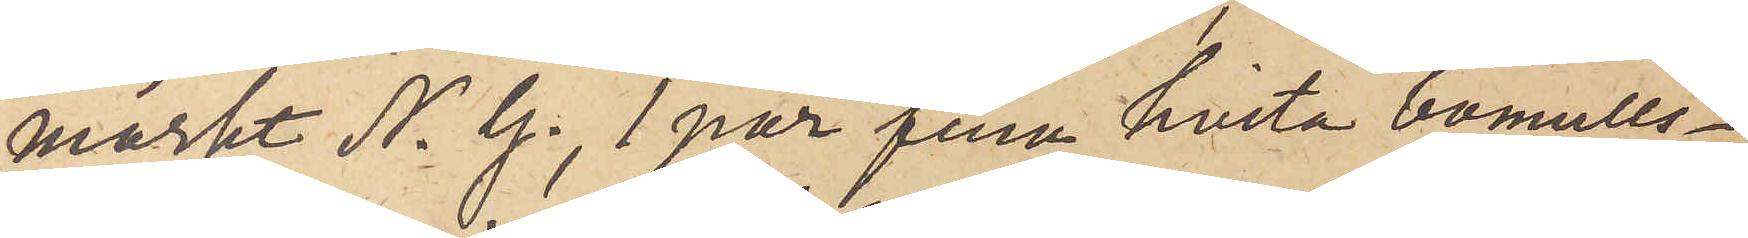märkt N. G., 1 par fina hvita bomulls¬
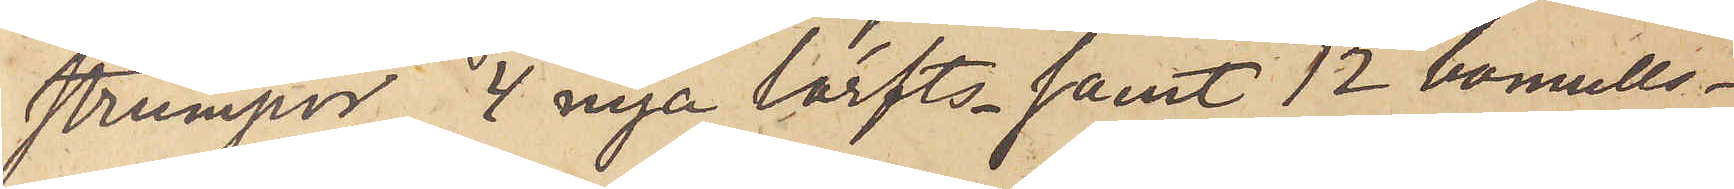strumpor, 4 nya lärfts- samt 12 bomulls¬
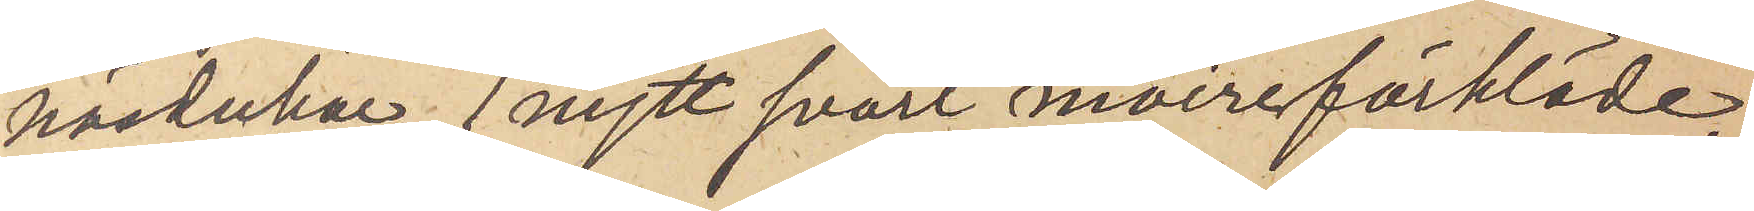näsdukar, 1 nytt svart moireförkläde,
